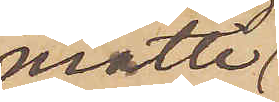måtte
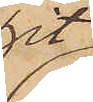hit
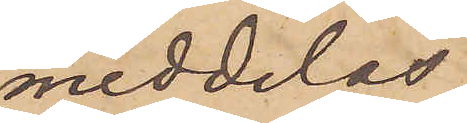meddelas.
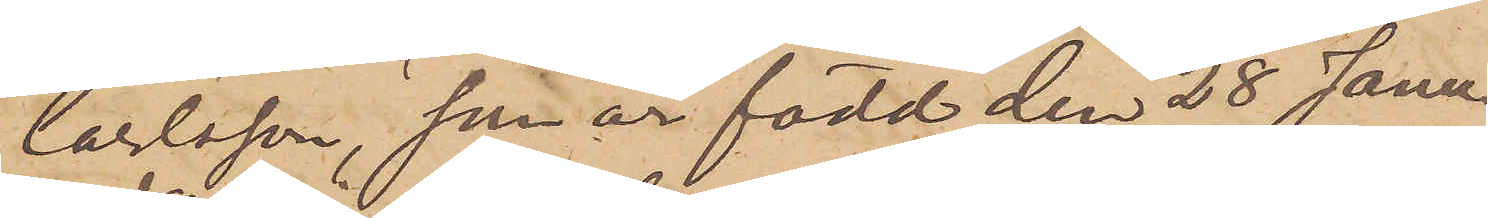Carlsson, som är född den 28 Janu¬
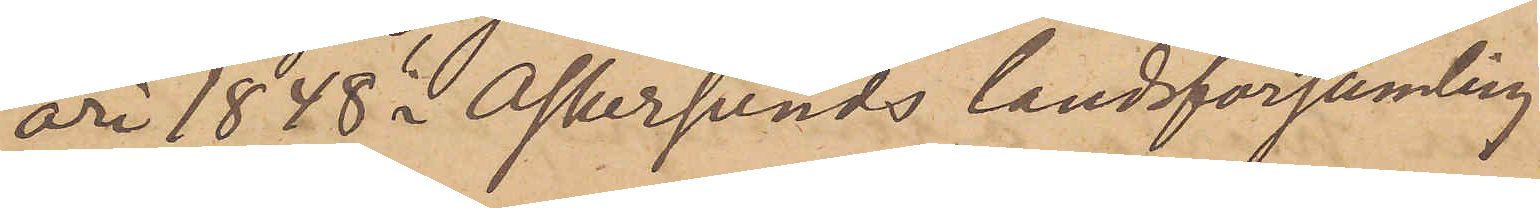ari 1848 å Askersunds landsförsamling
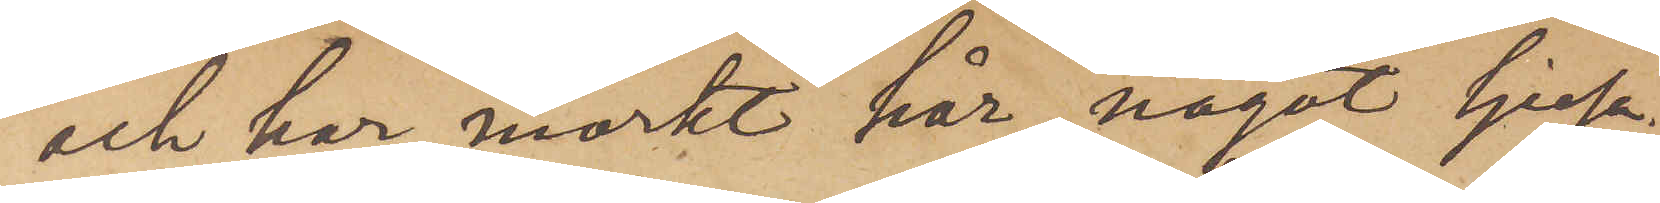och har mörkt hår, något ljusa¬
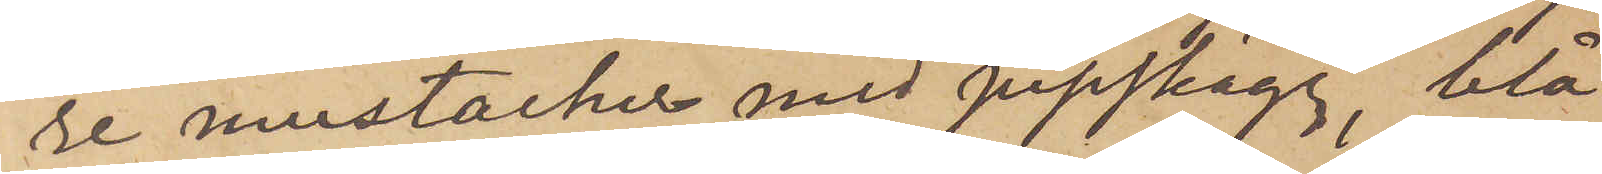re mustacher med pipskägg, blå
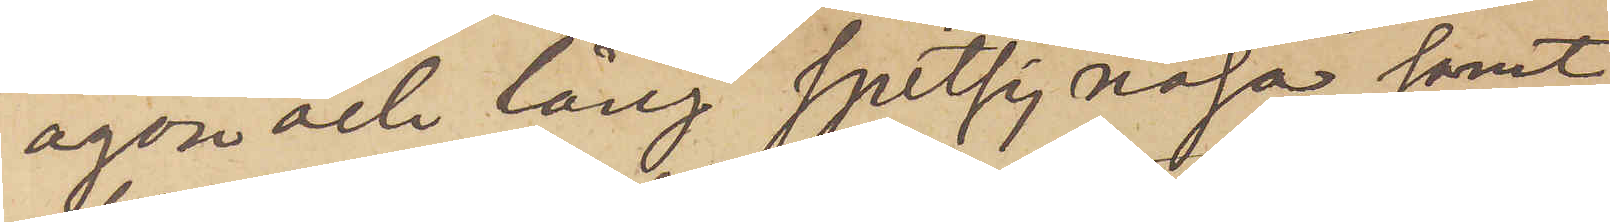ögon och lång spetsig näsa samt
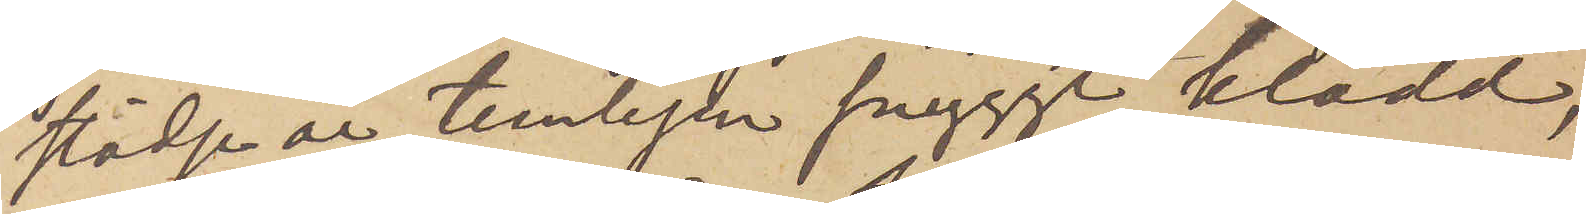städje är temligen snyggt klädd,
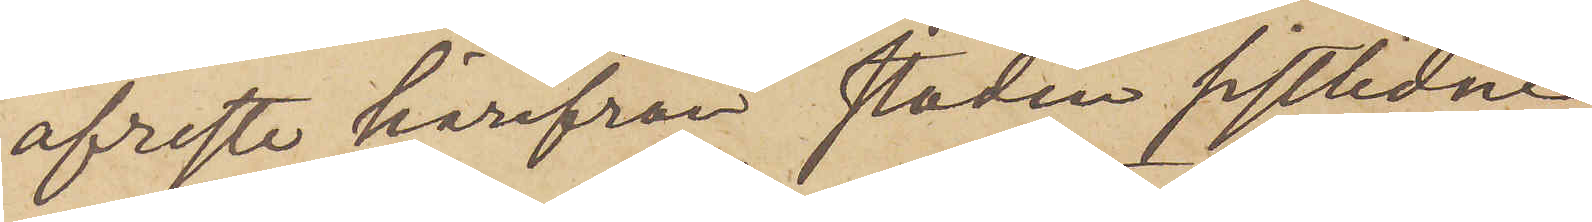afreste härifrån staden sistlidne
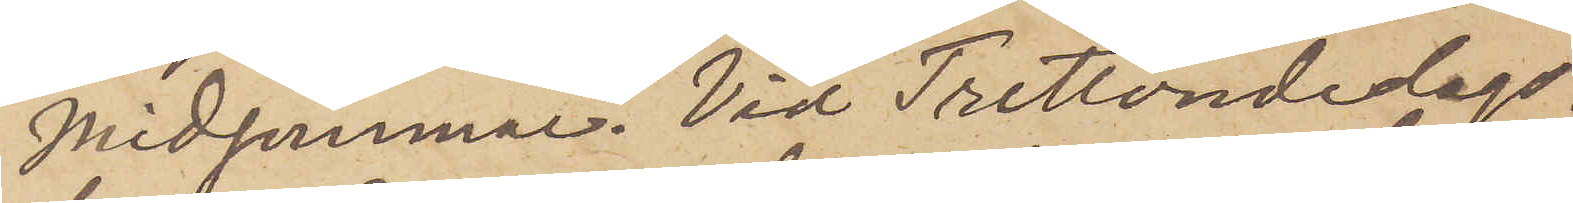Midsommar. Vid Trettondedags¬
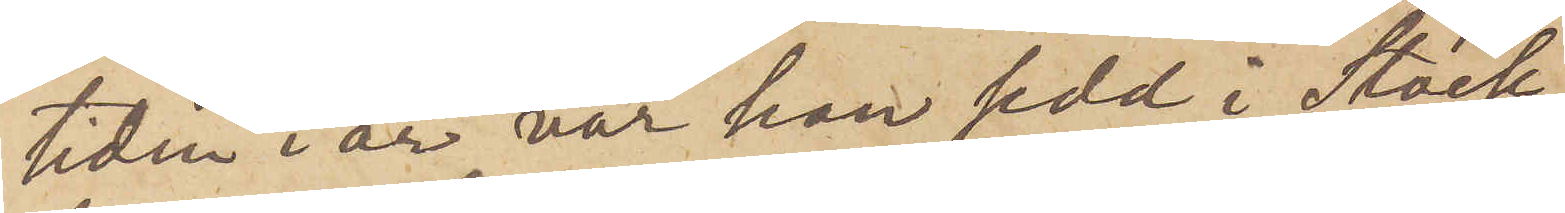tiden i år var han sedd i Stock¬
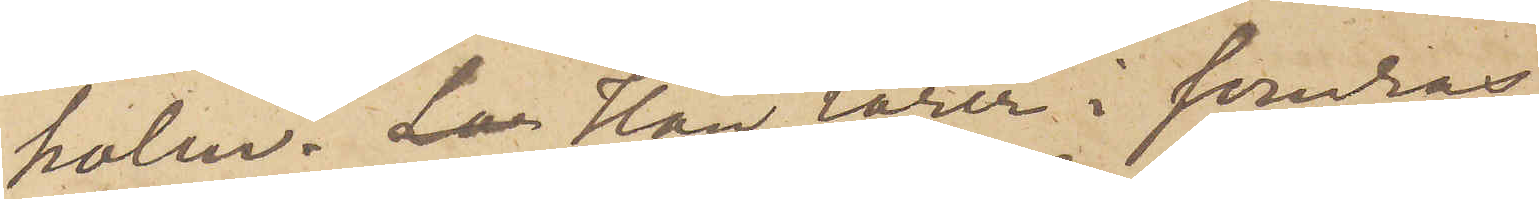holm. Lar Han lärer i somras
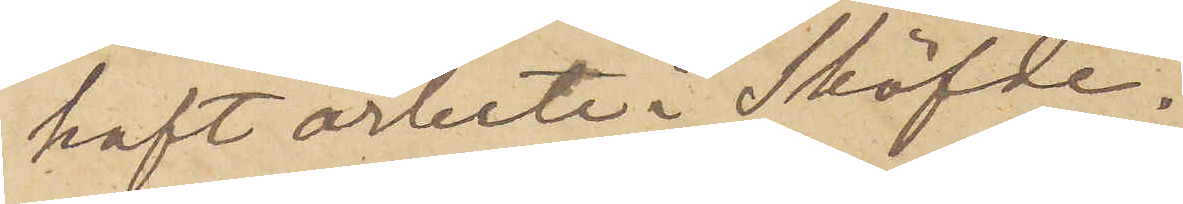haft arbete i Sköfde.
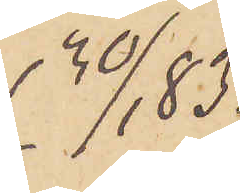30/1 83.
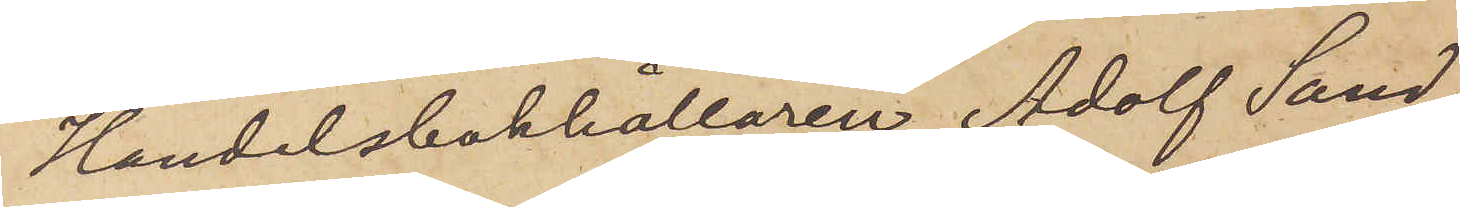Handelsbokhållaren Adolf Sand¬
